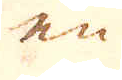en
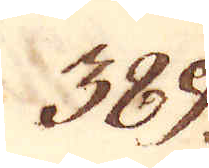389.
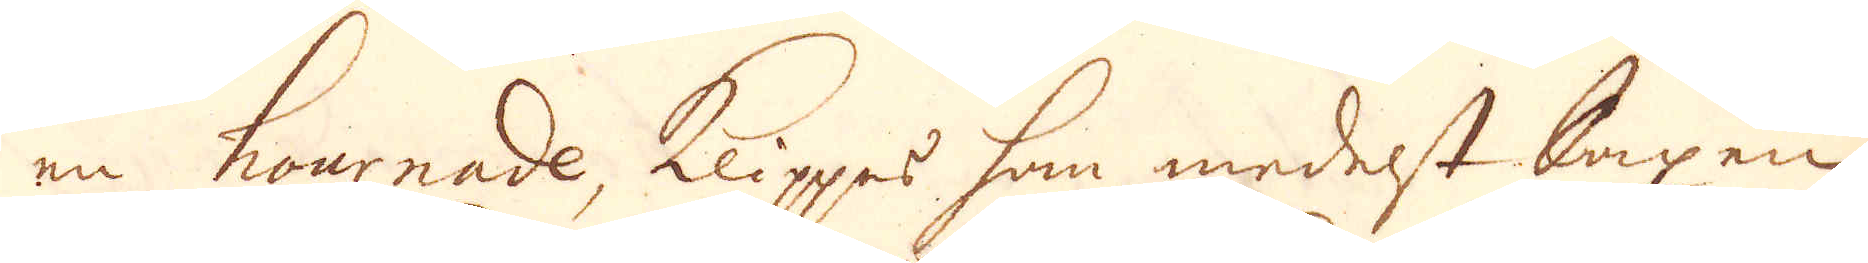en hournade, klippes som medelst Saxen
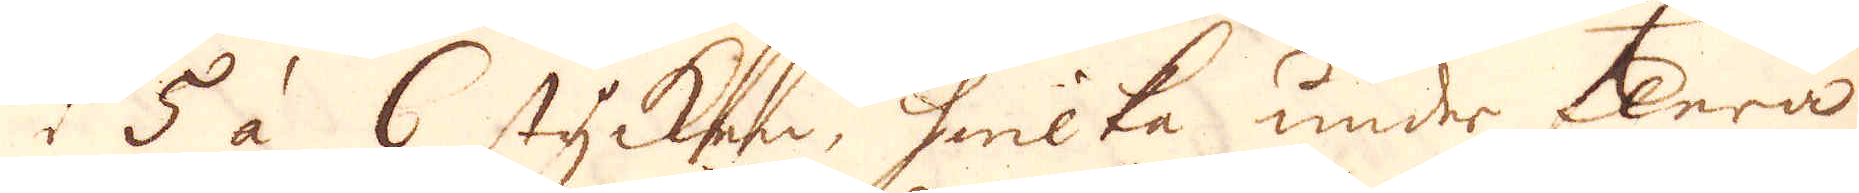i 5 à 6 stycken, hwilka under flera
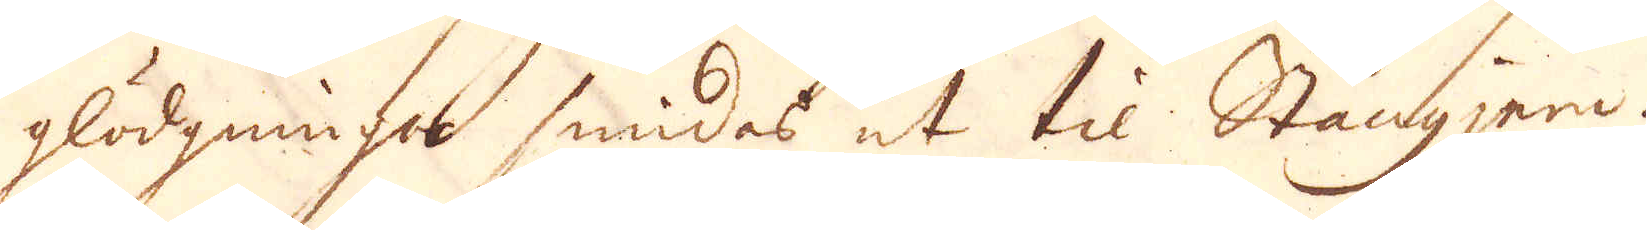glödgningar smidas ut til Stångjern.
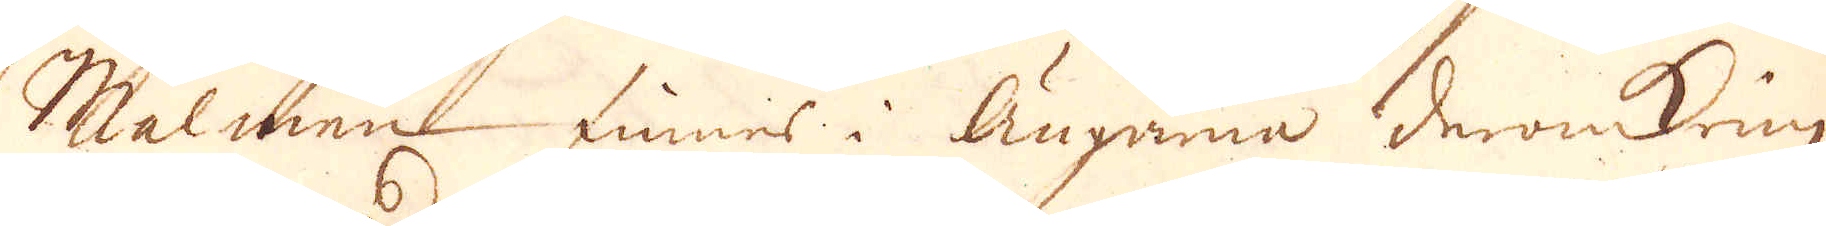Malmen finnes i Ängarna deromkring
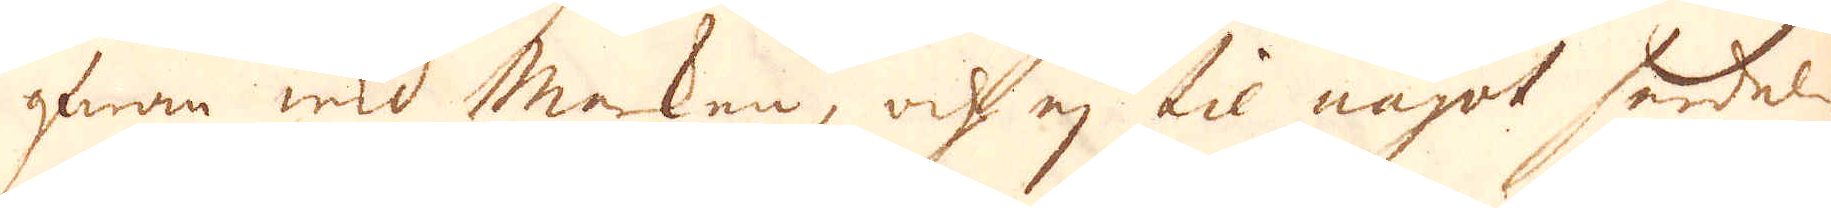ofwan wid Marken, och ej til något serdeles
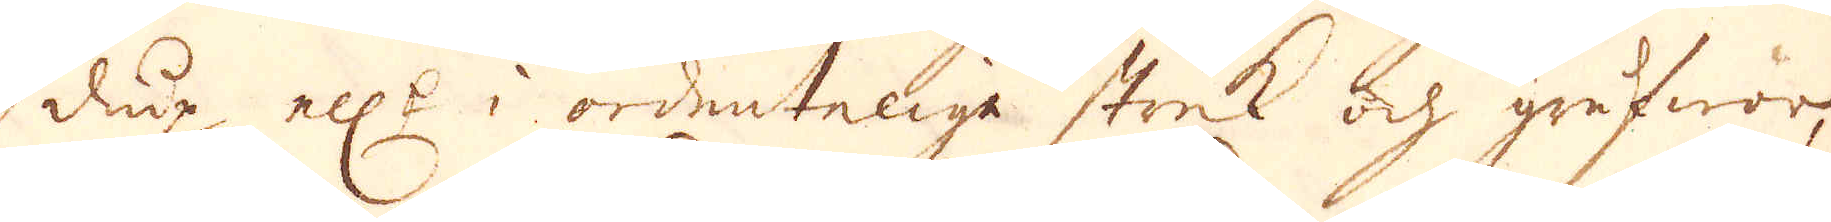diup ell:r i ordentelige strek och grufwor,
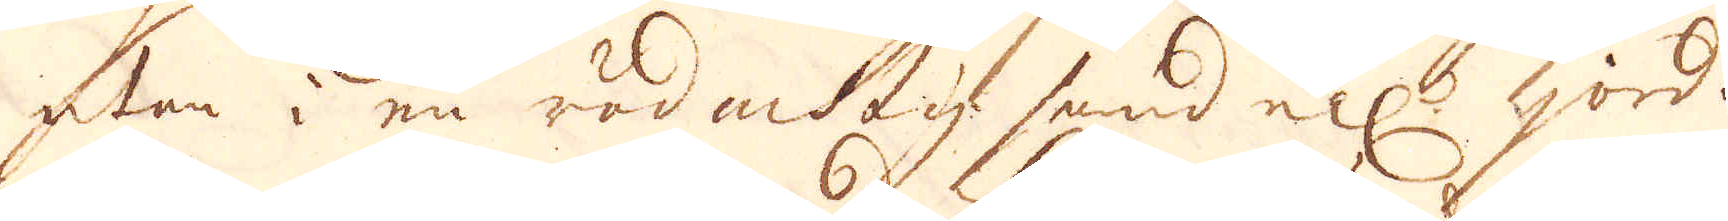utan i en rödaktig sand ell:r jord.
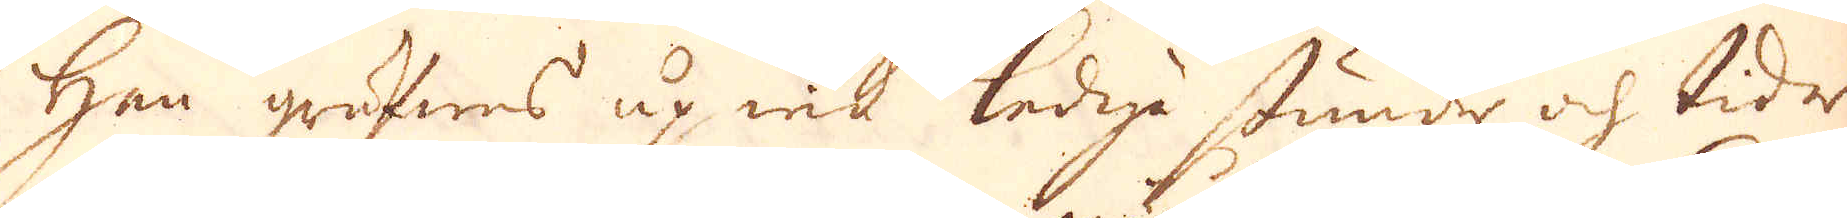Han gräfwes up wid lediga stunder och tider
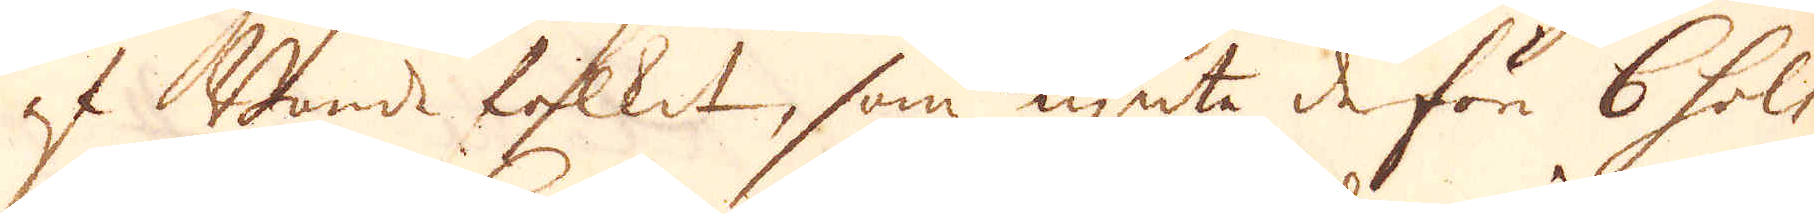af Bonde folket, som njuta derför 6 sols
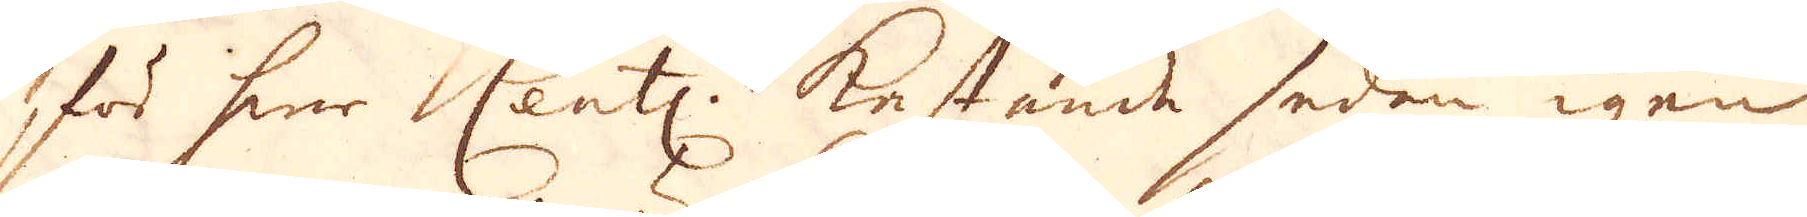för hwar Centn. Kastande sedan igen
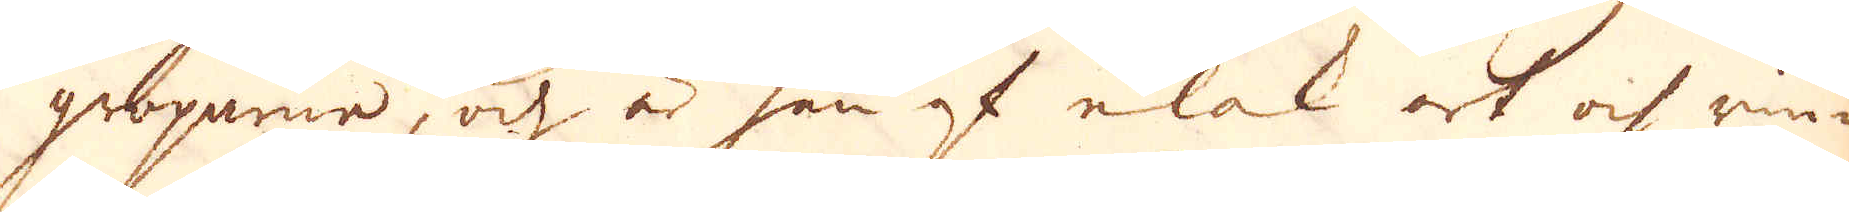groparna, och är han af elak art och rin-
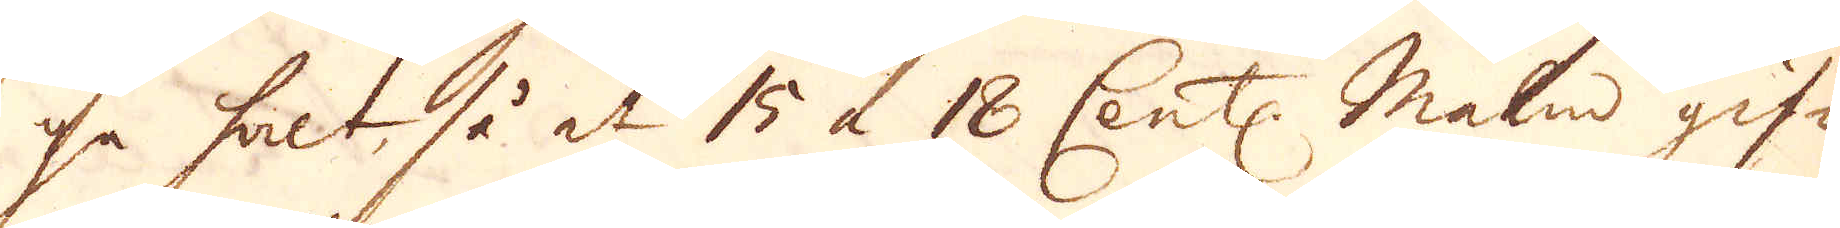ga halt, så at 15 à 18 Cent:. malm gif-
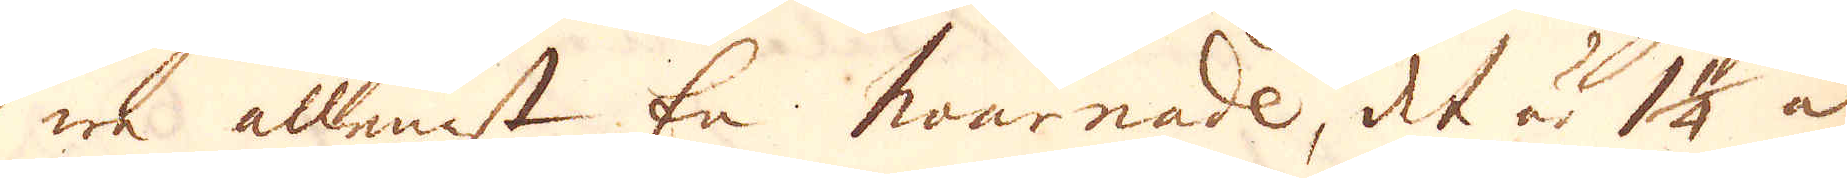we allenast En hournade, det är 1 1/4 à
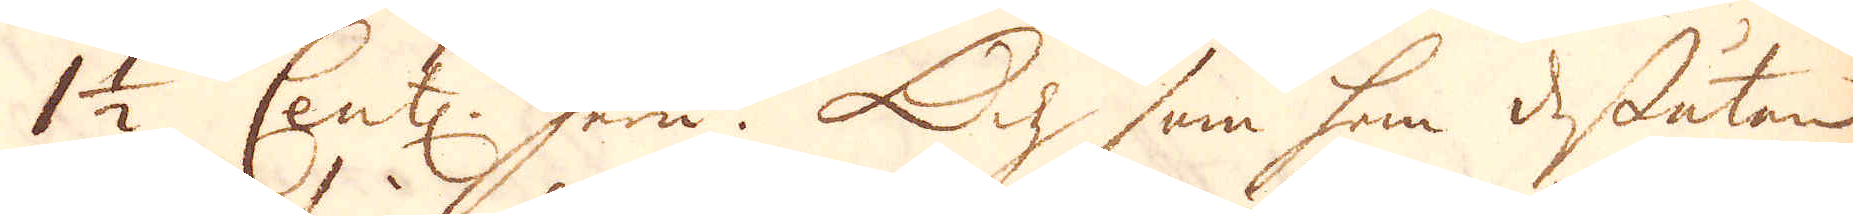1 1/2 Cent: Jern. Och som han dessutan
